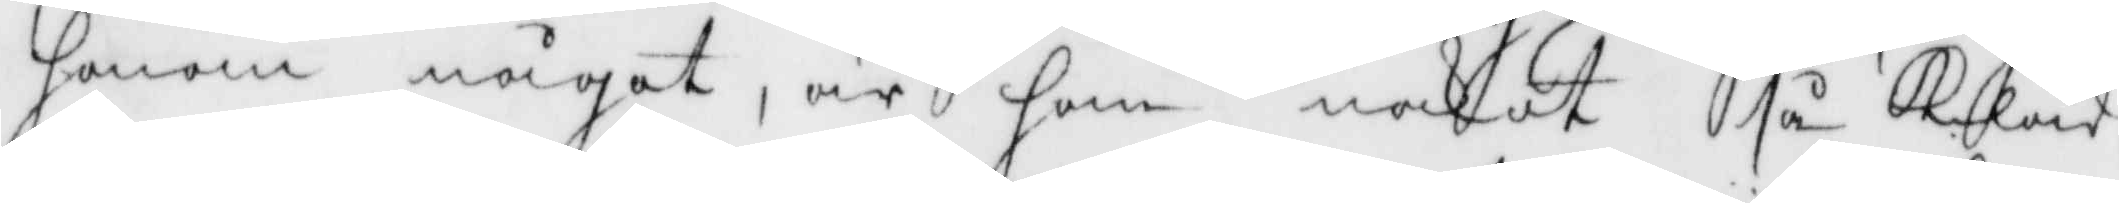honom något, är han nakot så Kläd
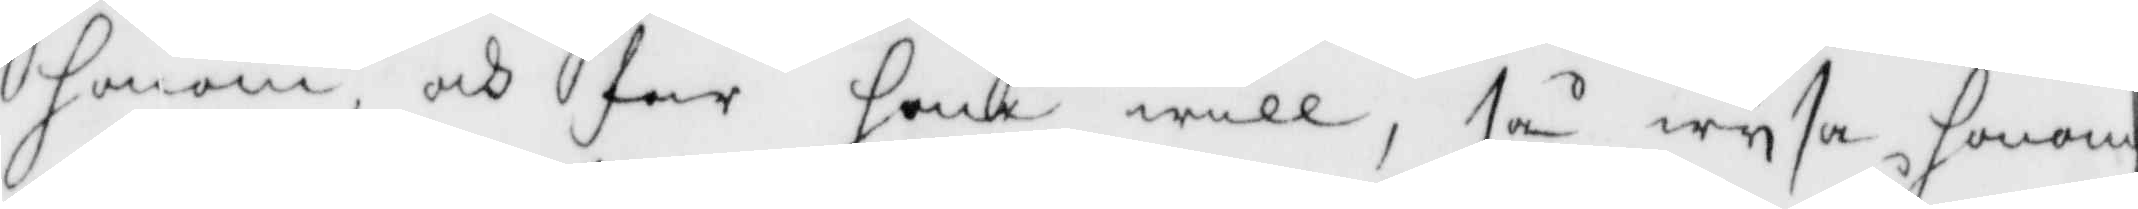honom, och far han will, så wysa, honom
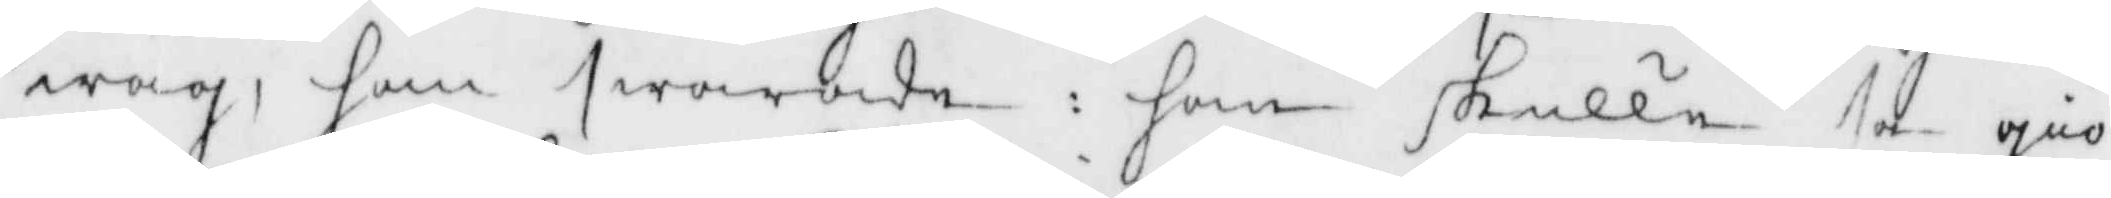wäg, han swarade: han skulle så giö¬
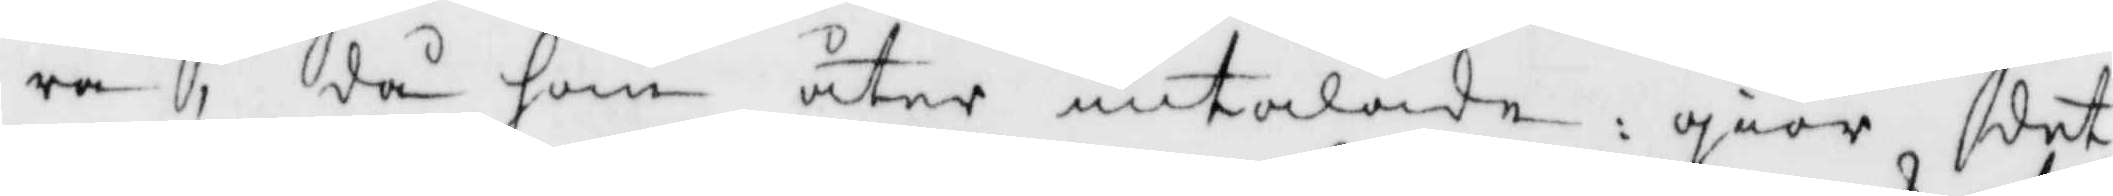ra, då som åter intalade : giör det
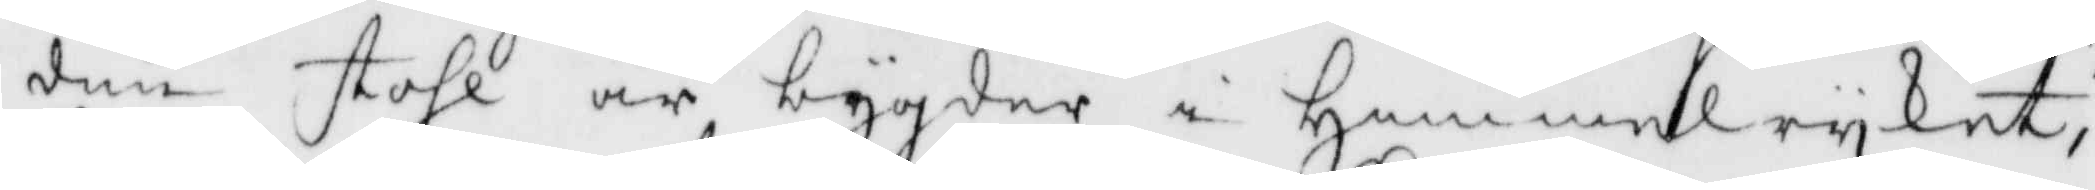din stohl är bygder i Himmelryket,
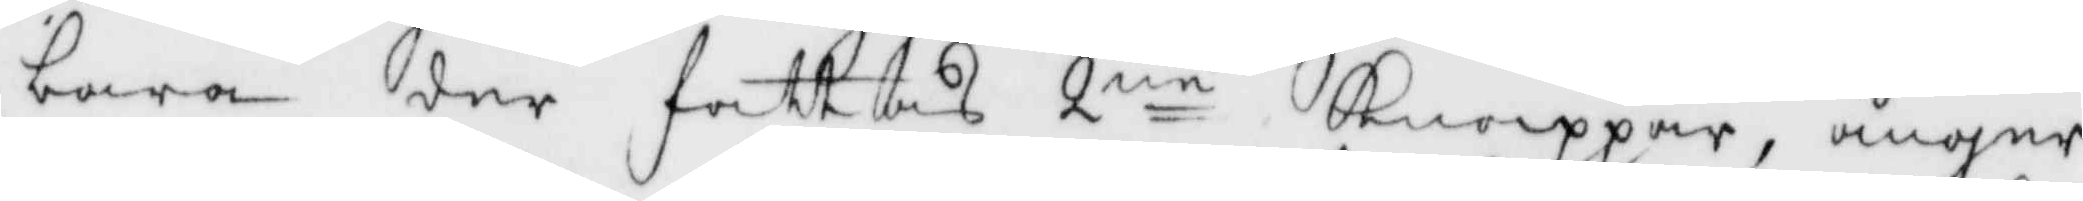bara der fattas 2:ne Knoppar, ånger
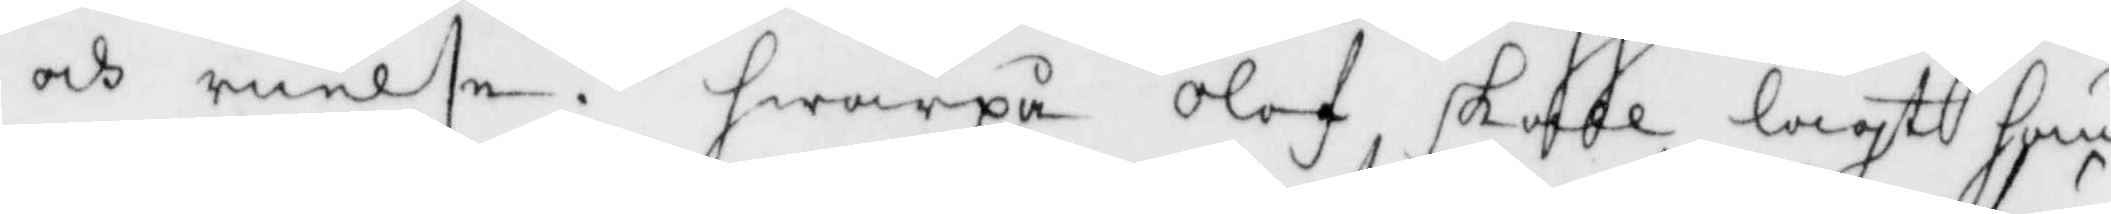och ruelse, hwarpå Olof skall lagt hän¬
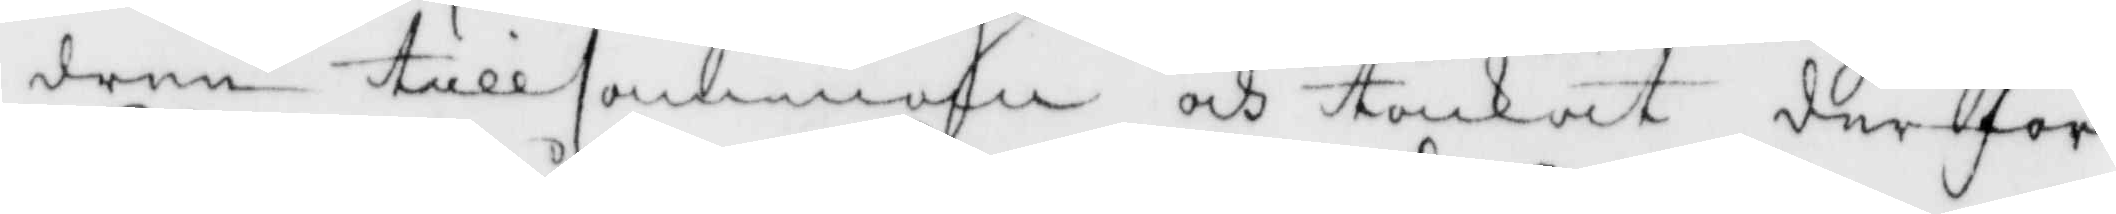dren tillsamman och tankat derföre
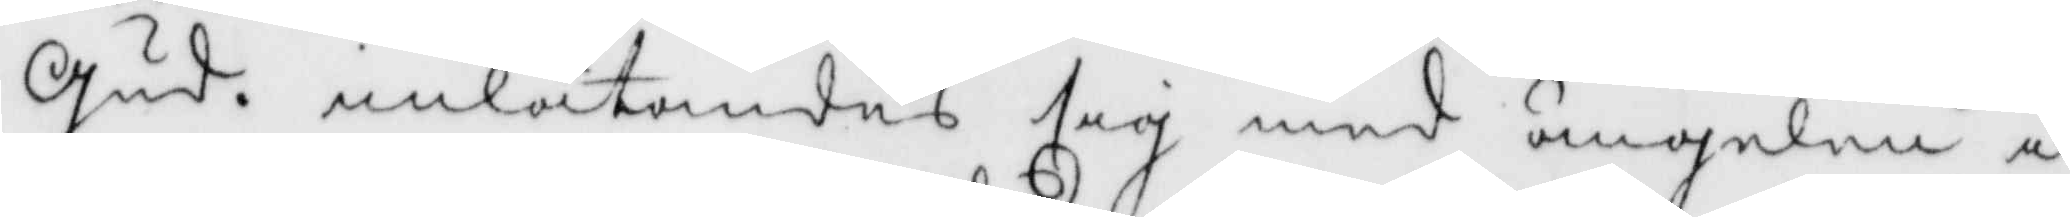Gud, inlåtandes sig med ängelen i
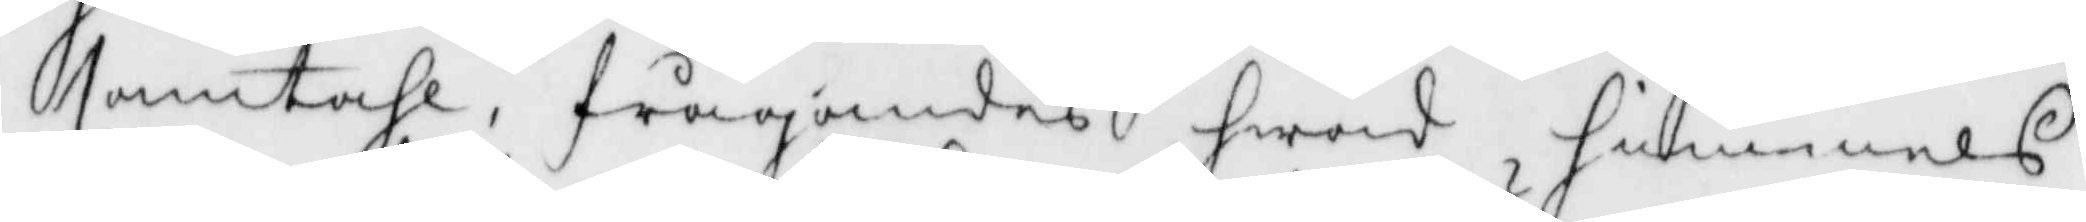samtahl, frågandes hwad himmels
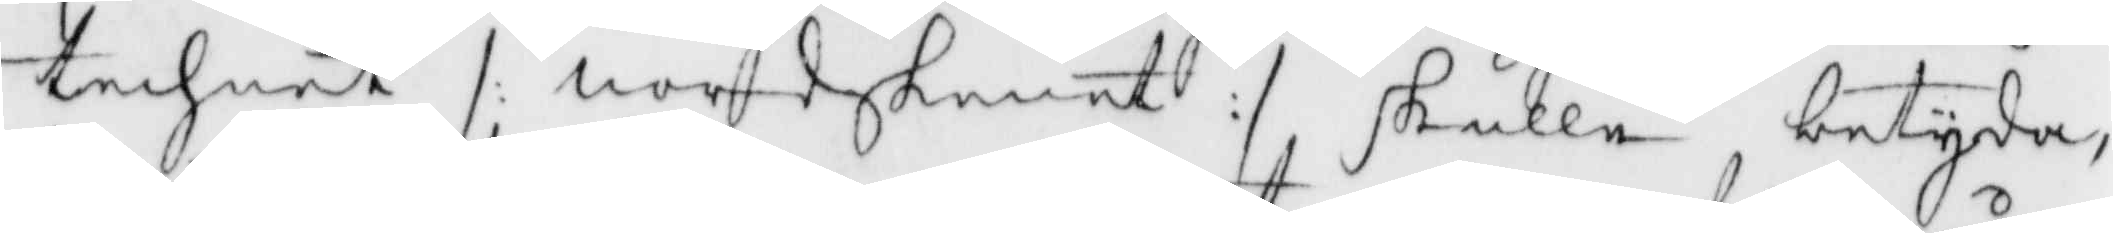technet /: nordskenat :/ skulle, betyda,
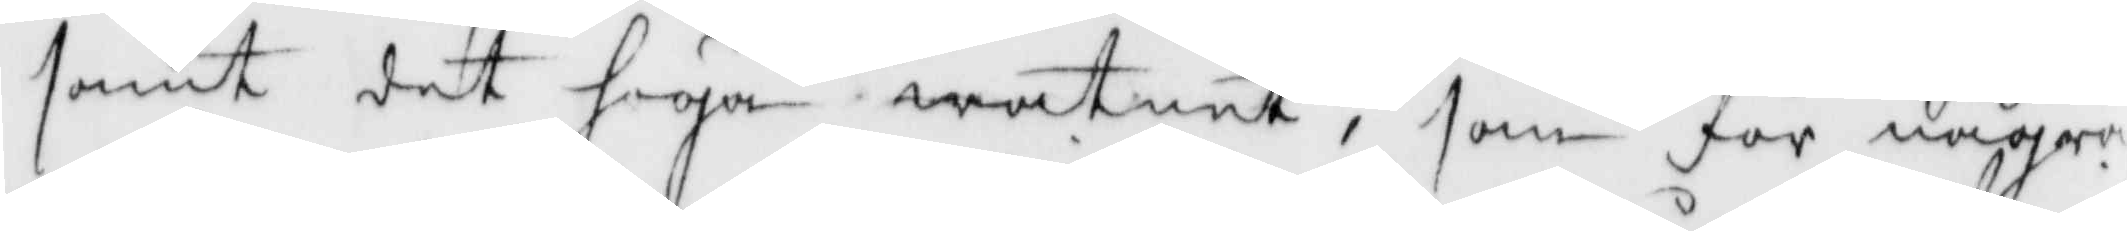samt det höga watnet, som för några
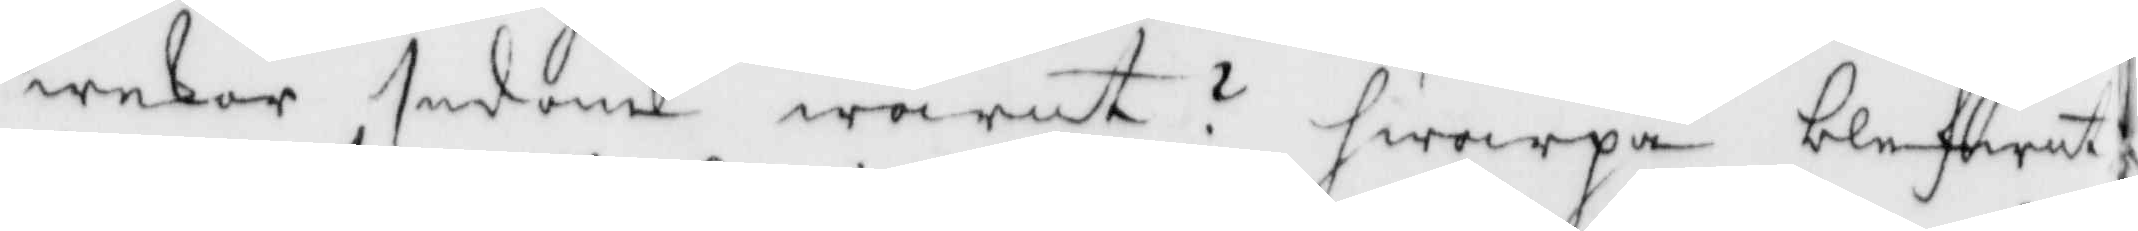wekor sedan warit? hwarpå blefwit,
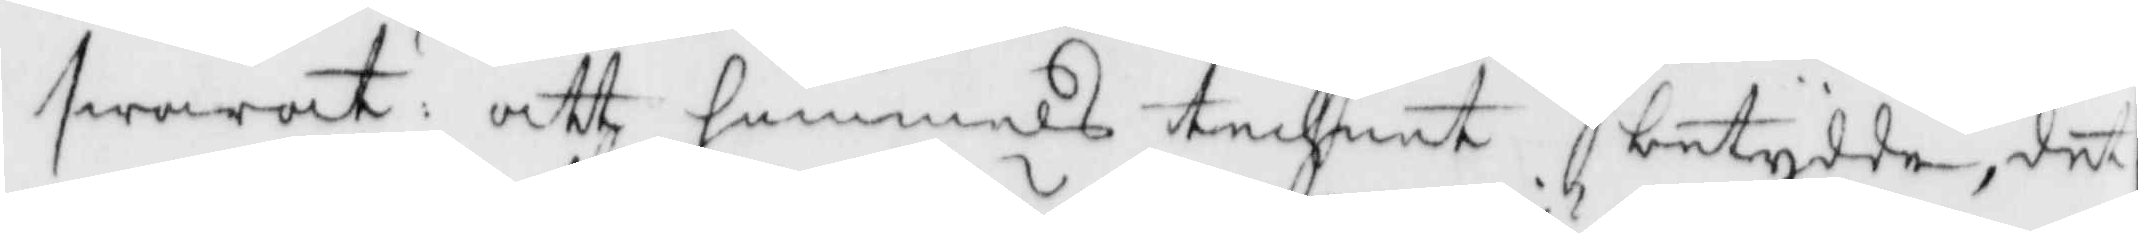swarat: att himmels technet betydde, det
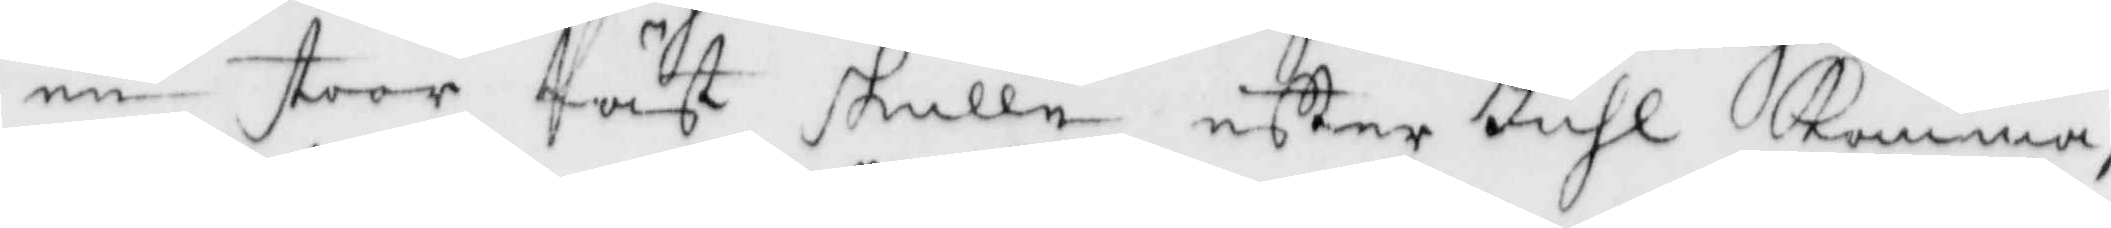en stoor fäst skulle efter Juhl Komma,
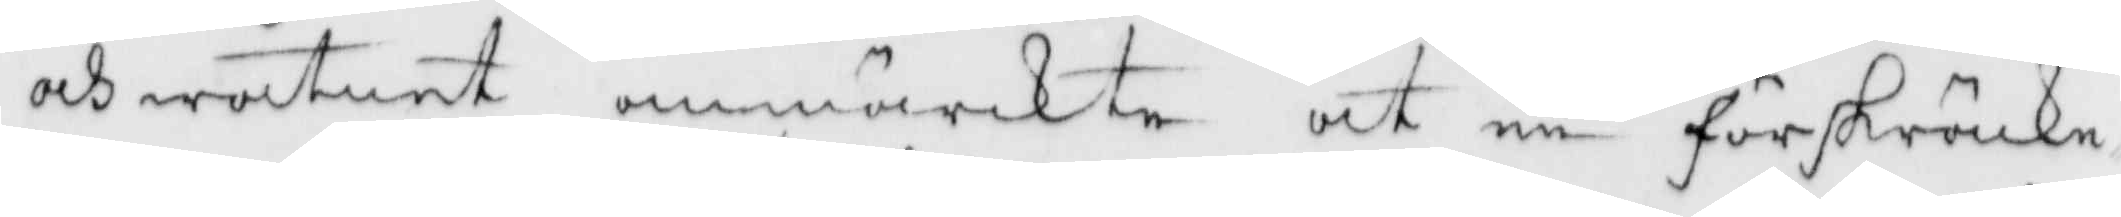och watnet anmärckte at en förskräcke¬
